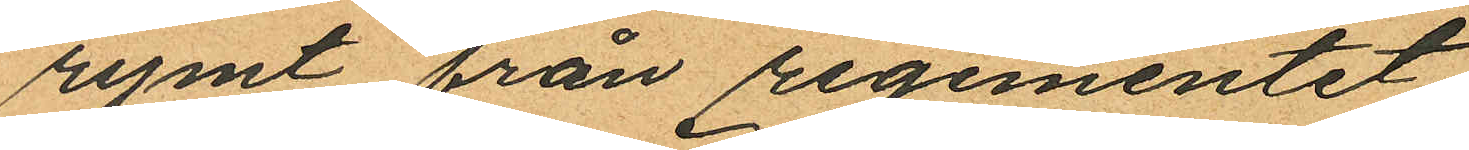rymt från regementet.
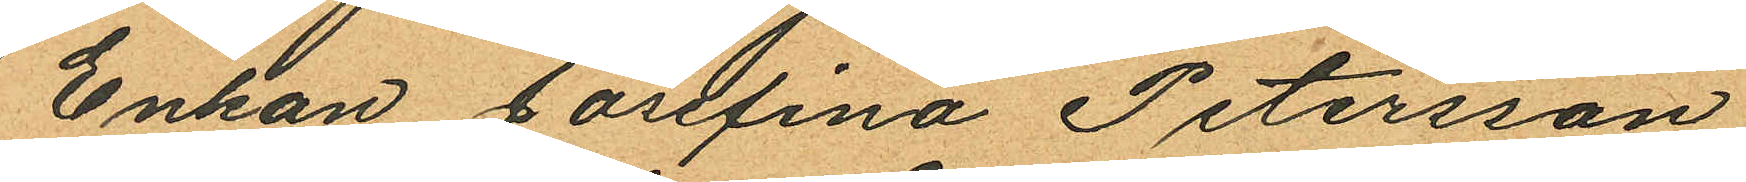Enkan Josefina Petersson
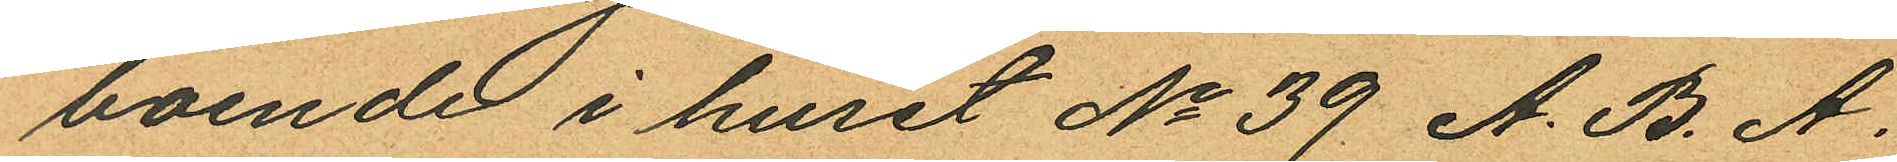boende i huset No 39 A. B. A.
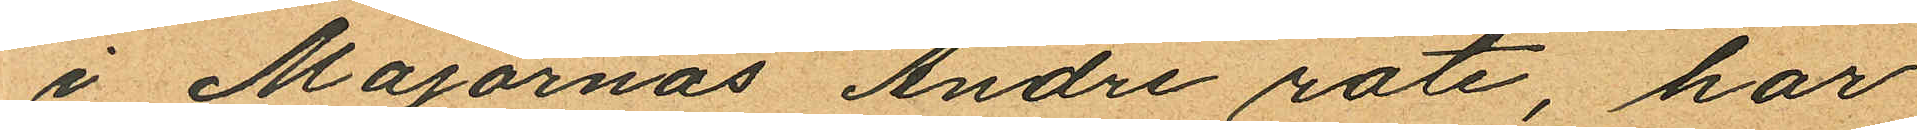i Majornas Andre rote, har
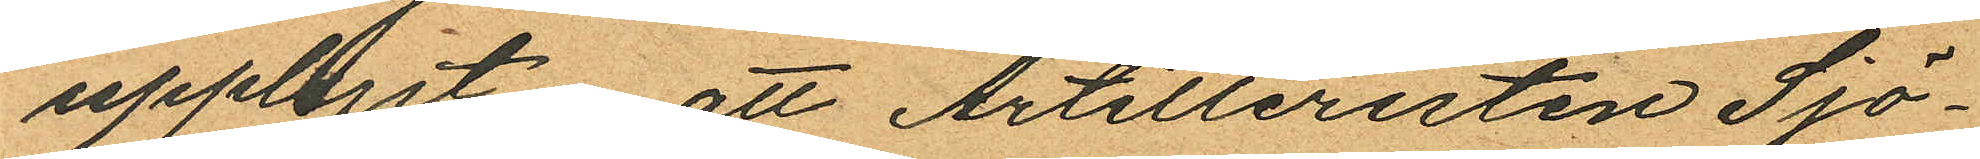upplyst, att Artilleristen Sjö¬
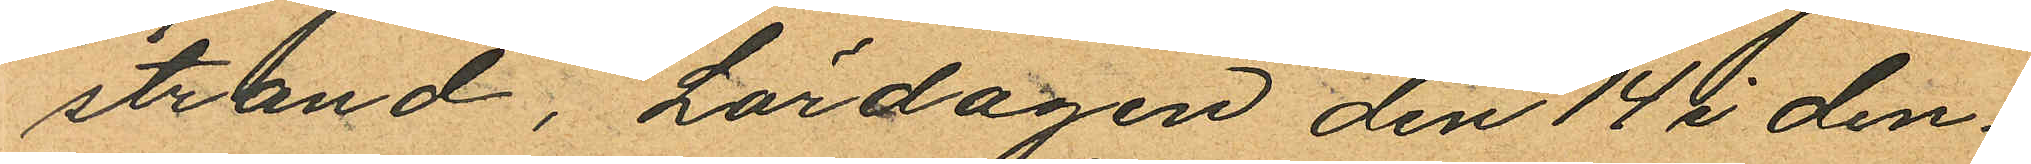strand, Lördagen den 14 i den
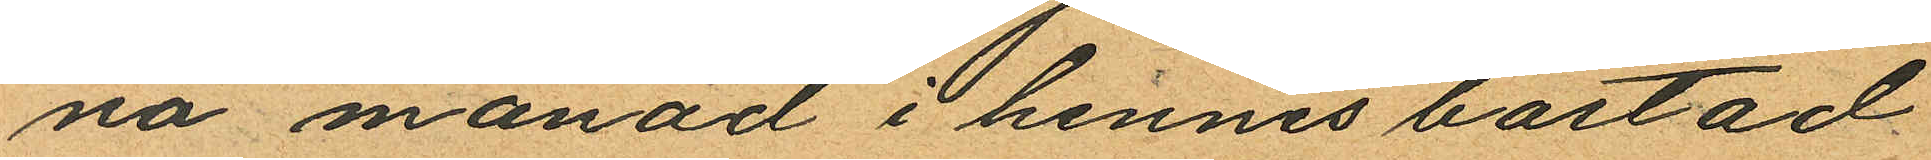na månad i hennes bostad
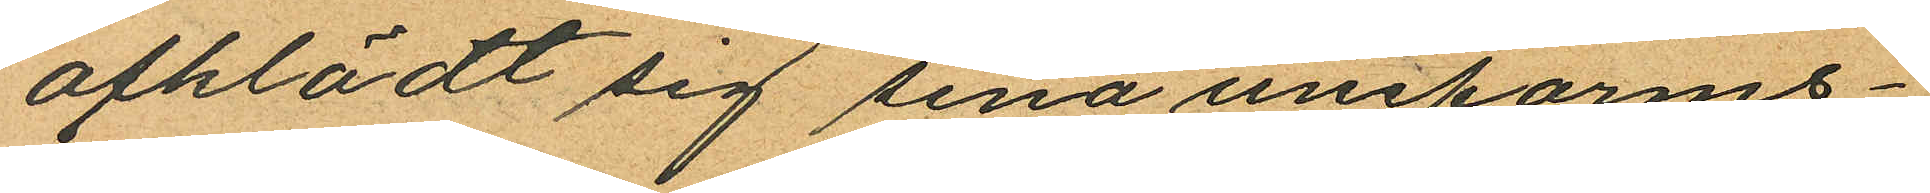afklädt sig sina uniforms¬
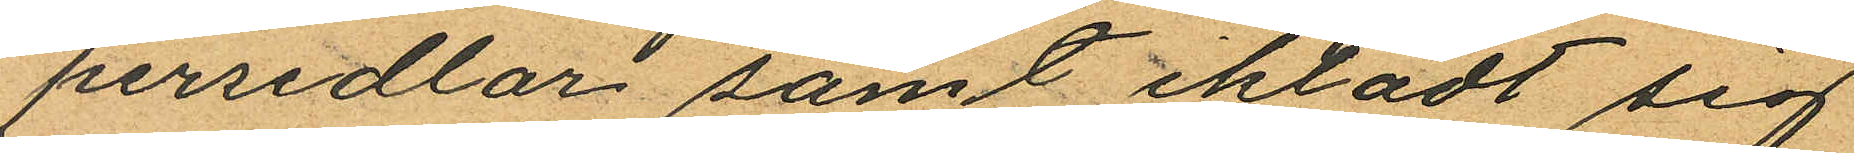persedlar samt iklädt sig
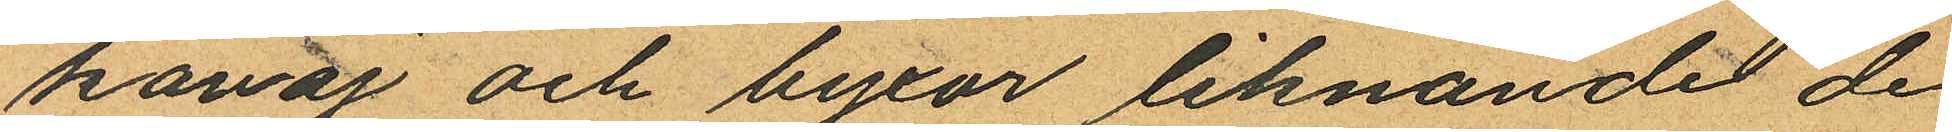kavaj och byxor liknande de
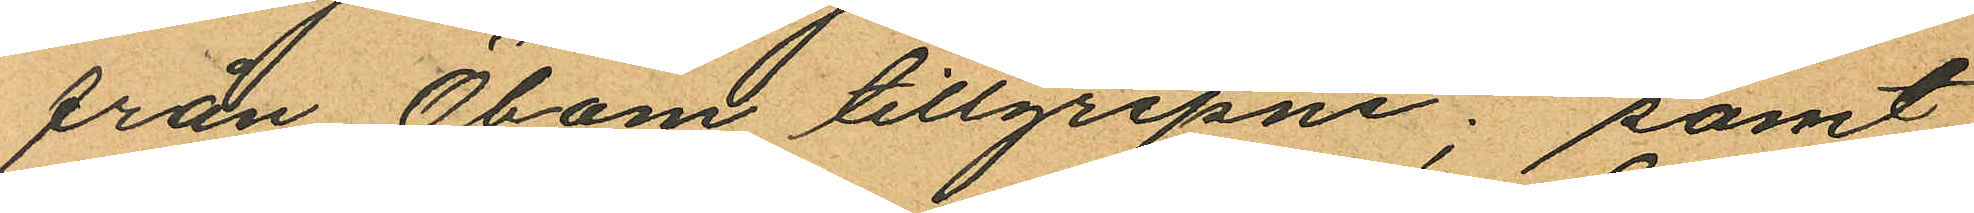från Öbom tillgripne; samt
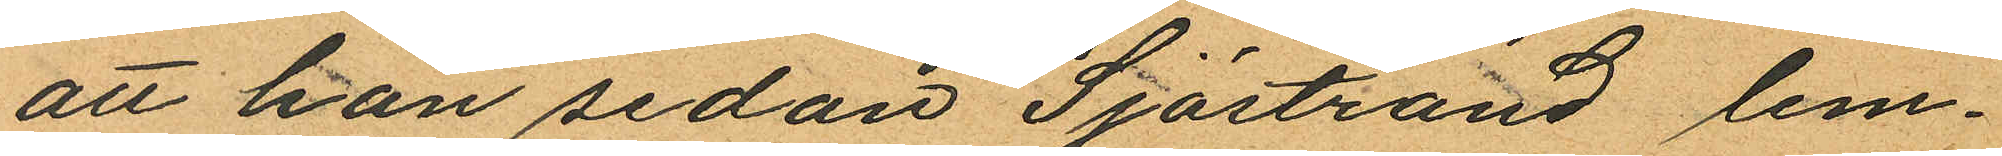att hon sedan Sjöstrand lem¬
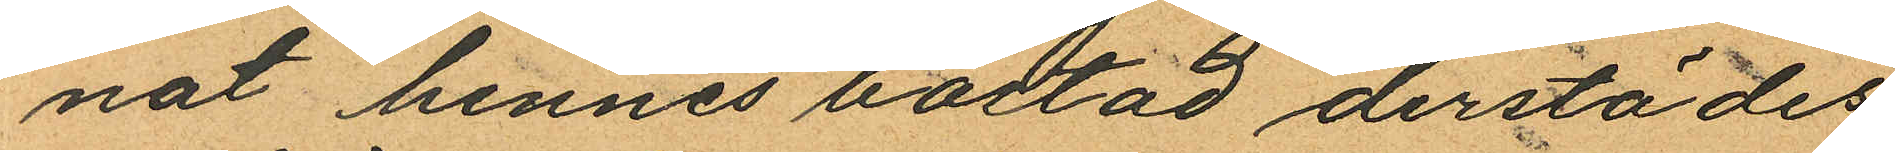nat hennes bostad derstädes
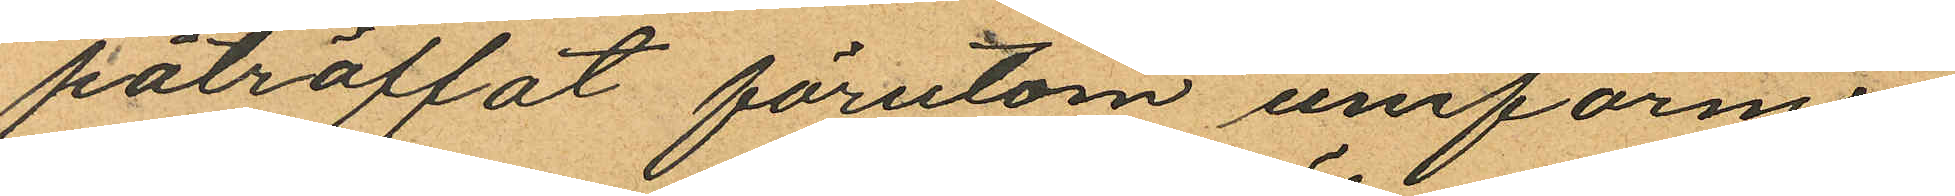påträffat förutom uniforms¬
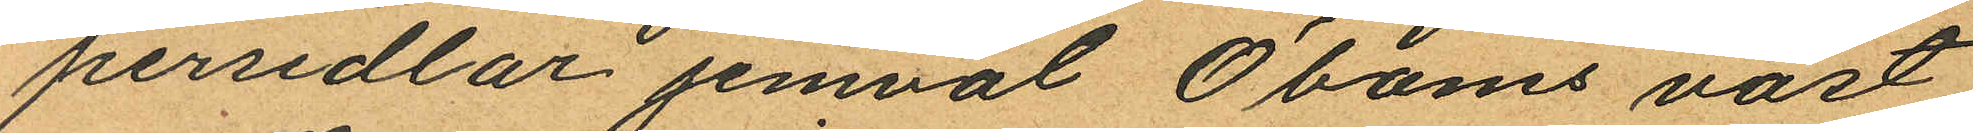persedlar jemväl Öboms väst
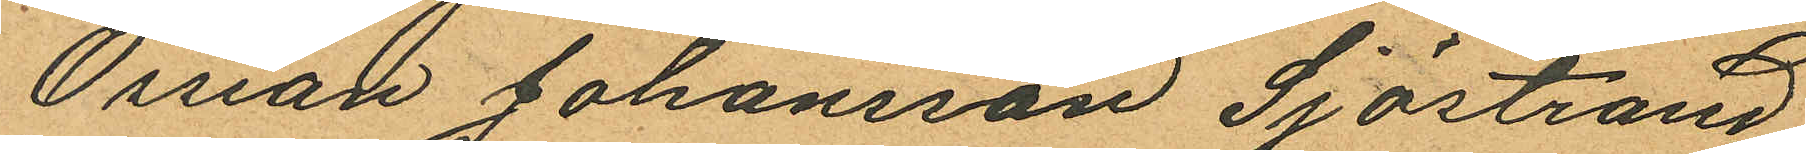Ossian Johansson Sjöstrand,
